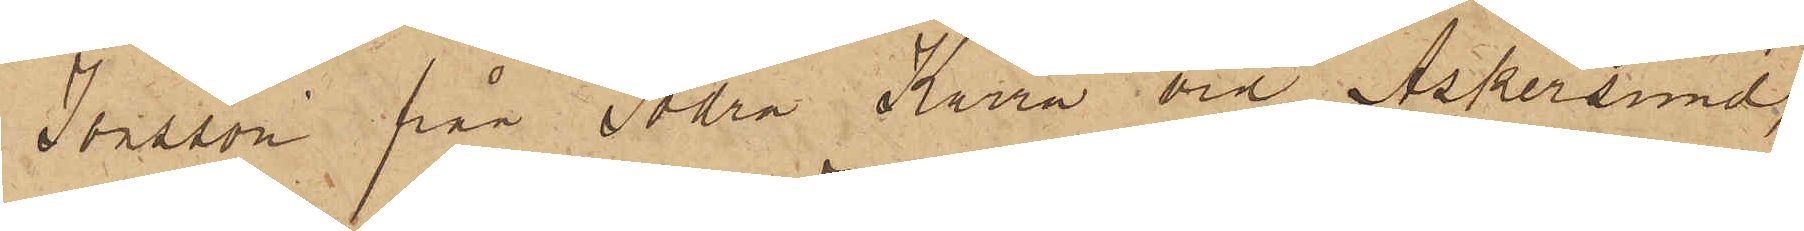Jonsson från Södra Kärra vid Askersund,
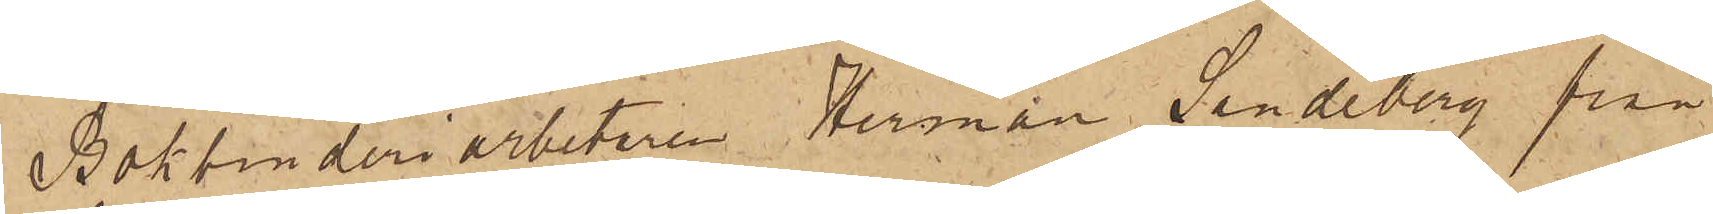Bokbinderiarbetaren Herman Sandeberg från
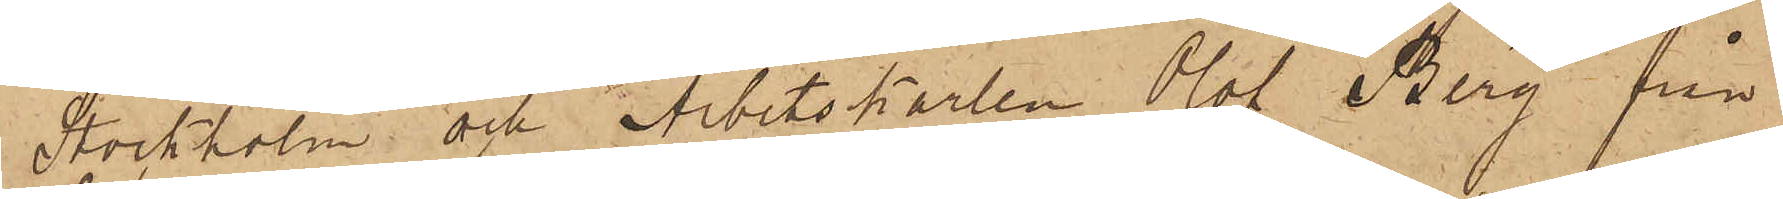Stockholm och Arbetskarlen Olof Berg från
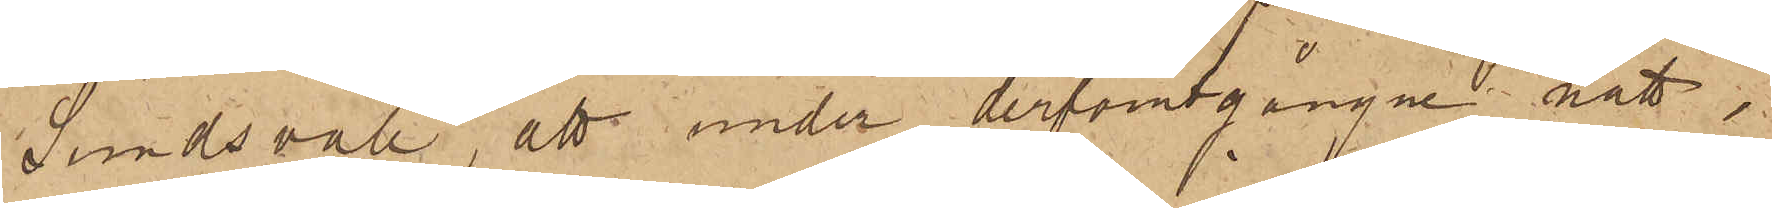Sundsvall, att under derförutgångne natt,
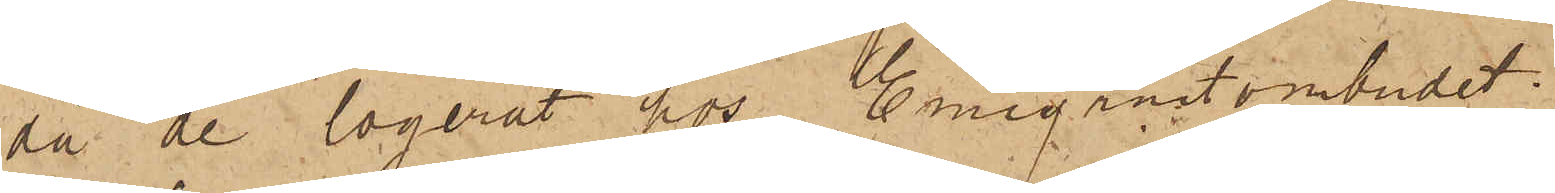då de logerat hos Emigrantombudet
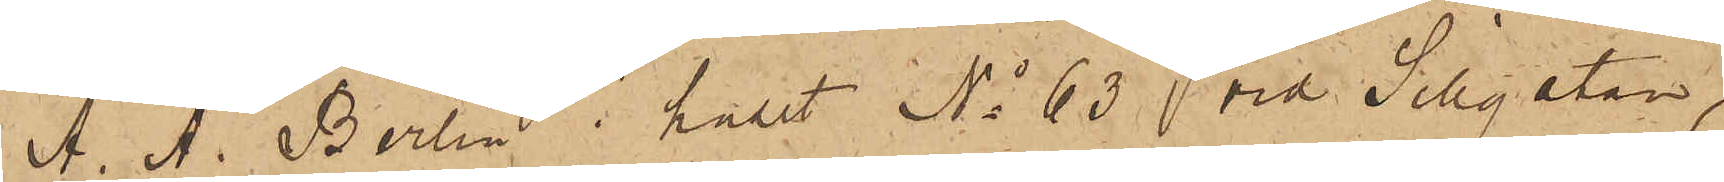A. A. Berlin i huset No 63 vid Sillgatan,
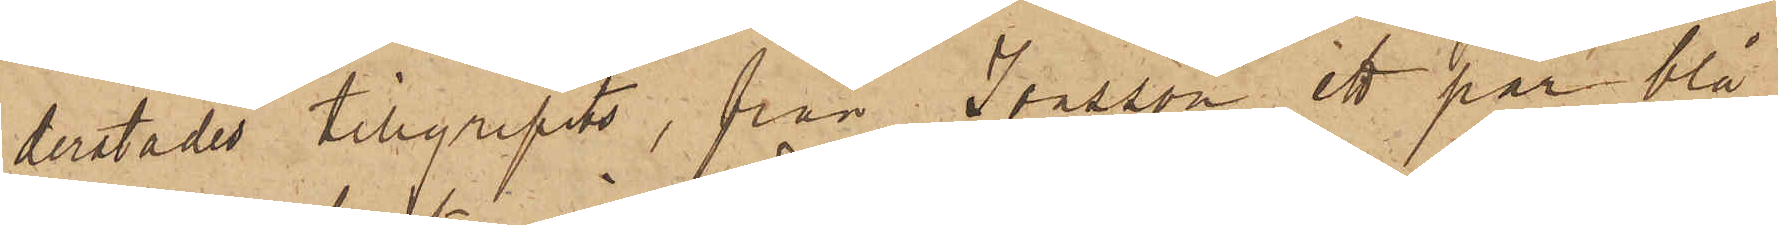derstädes tillgripits, från Jonsson ett par blå
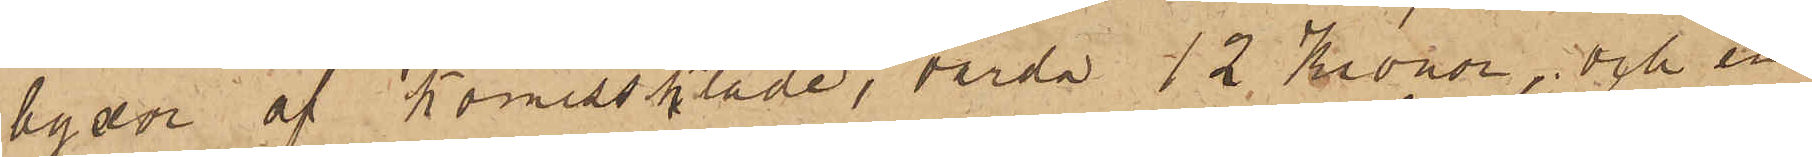byxor af Komisskläde, värda 12 Kronor, och en
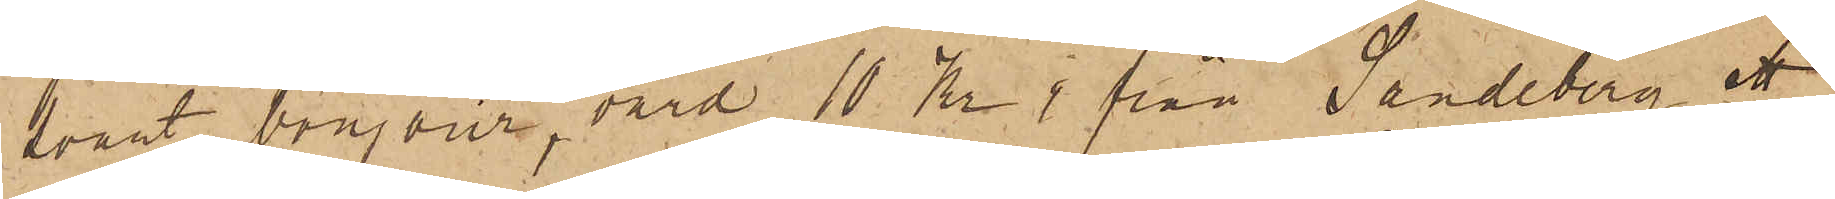svart bonjour, värd 10 Kr, från Sandeberg ett
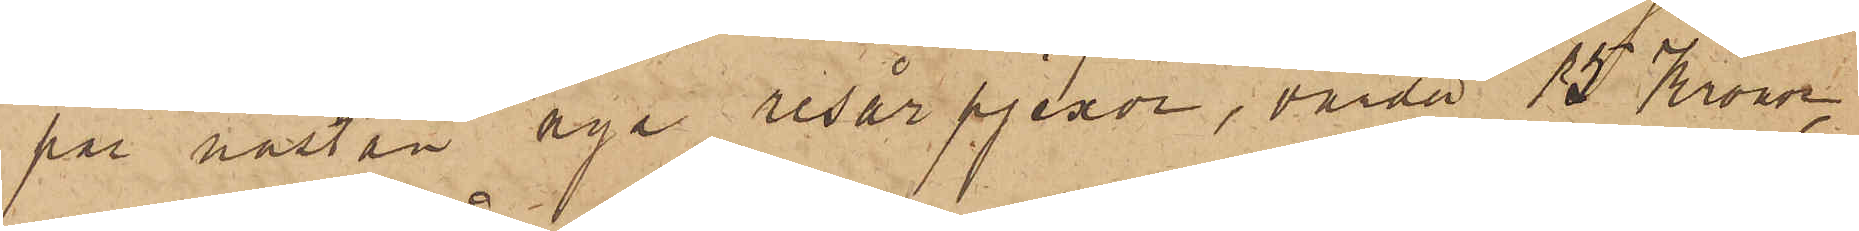par nästan nya resår pjexor, värda 15 Kronor,
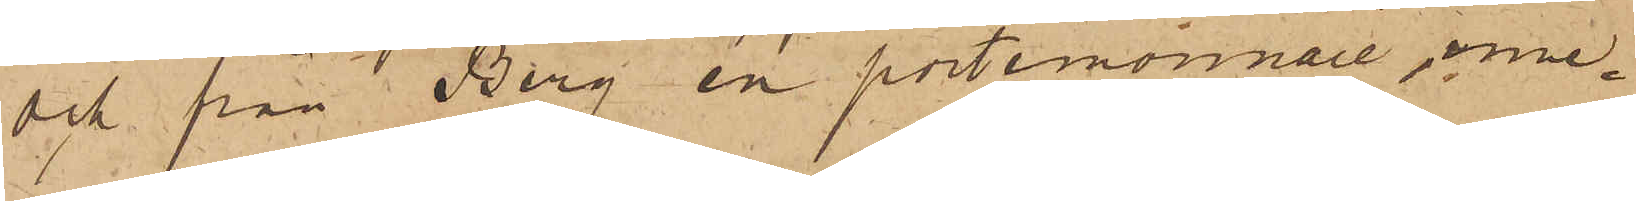och från Berg en portemonnaie, inne¬
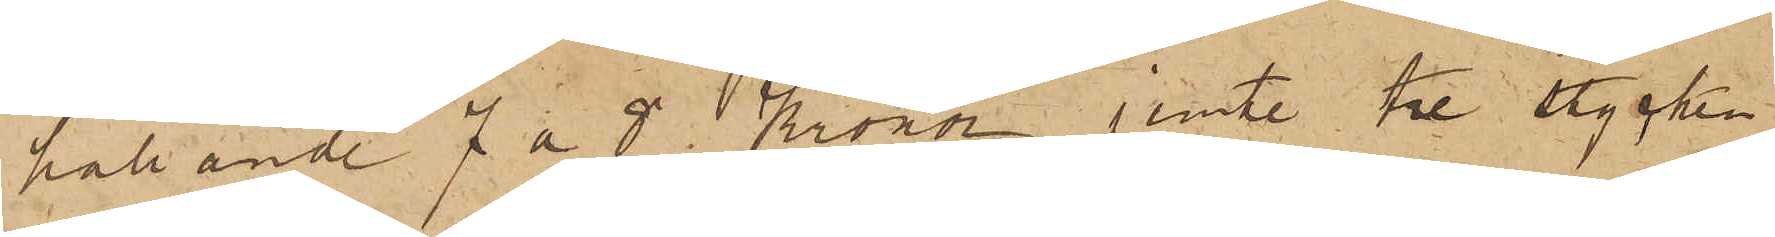hållande 7 a 8 Kronor jemte tre stycken
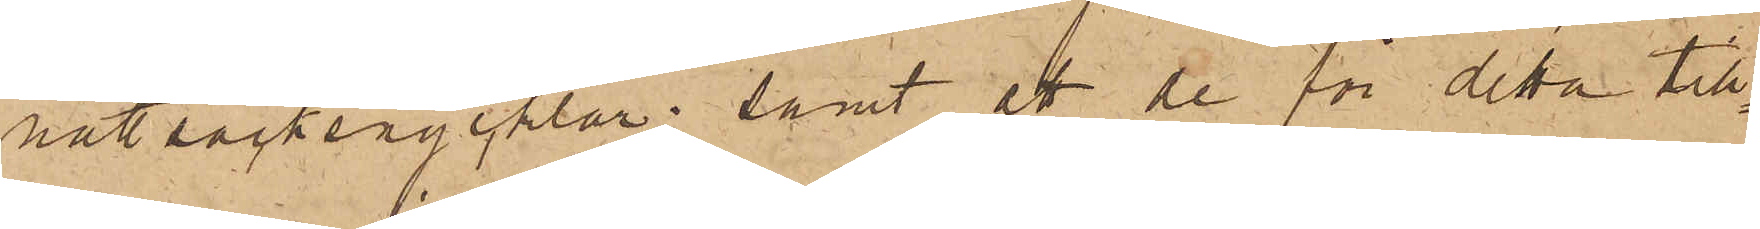nattsäcksnycklar; samt att de för detta till¬
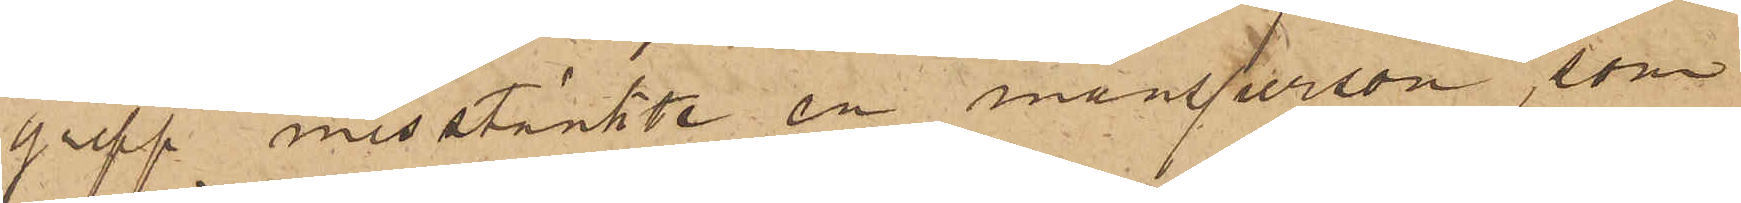grepp misstänkte en mansperson, som
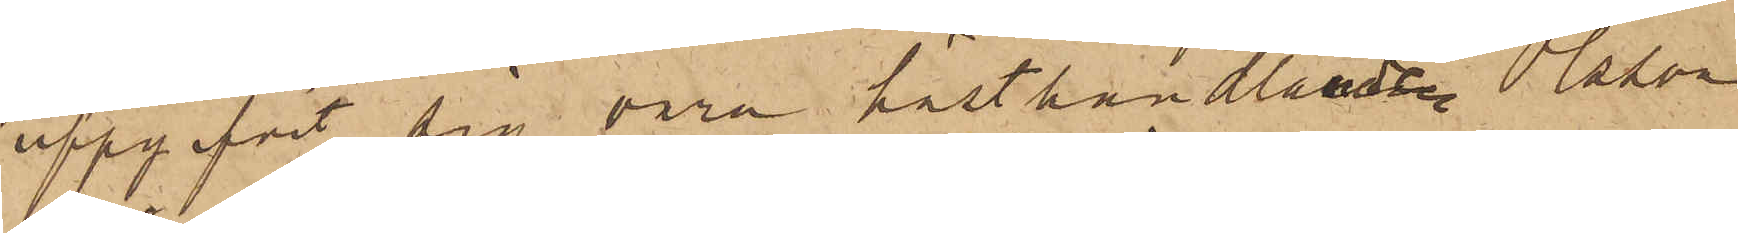uppgifvit sig vara hästhandlande Olsson
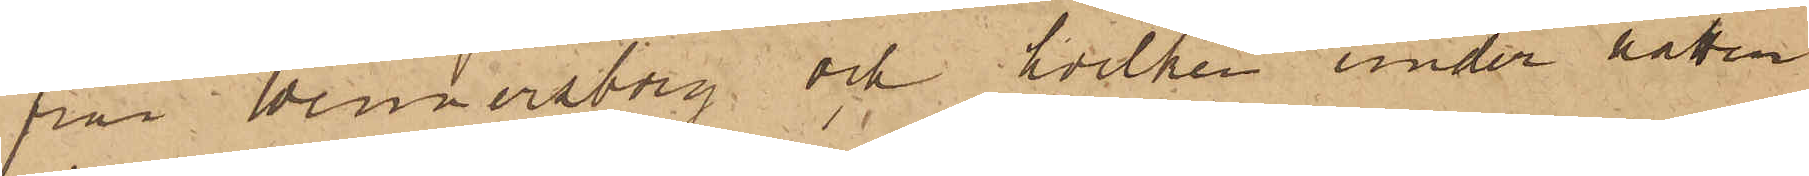från Wennersborg och hvilken under natten
